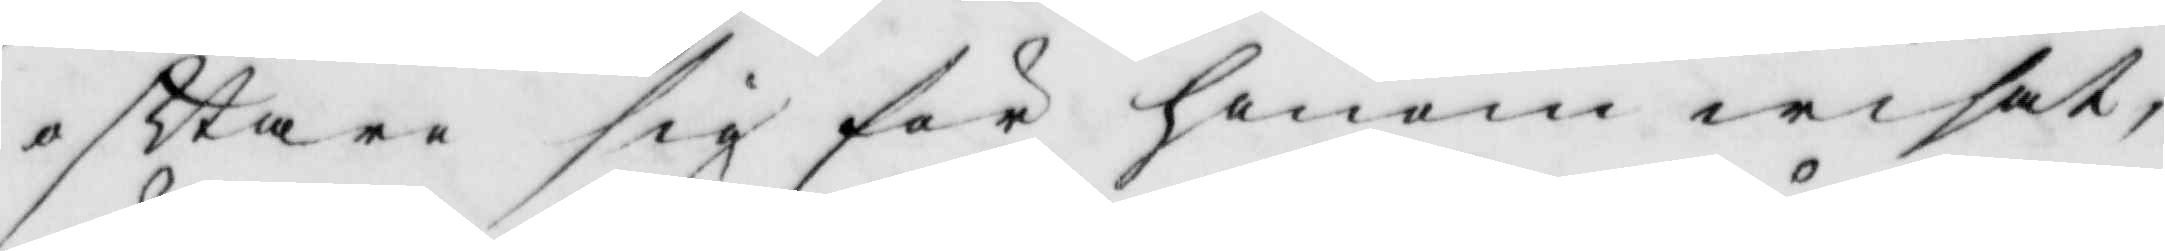ofttare sig för honom wisat,
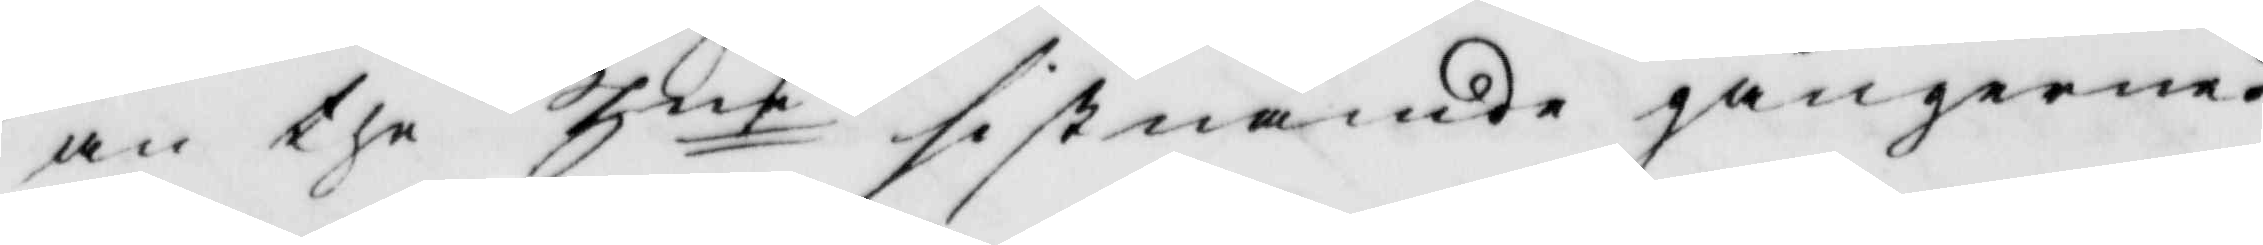än the 3ne sistnämde gångerna?
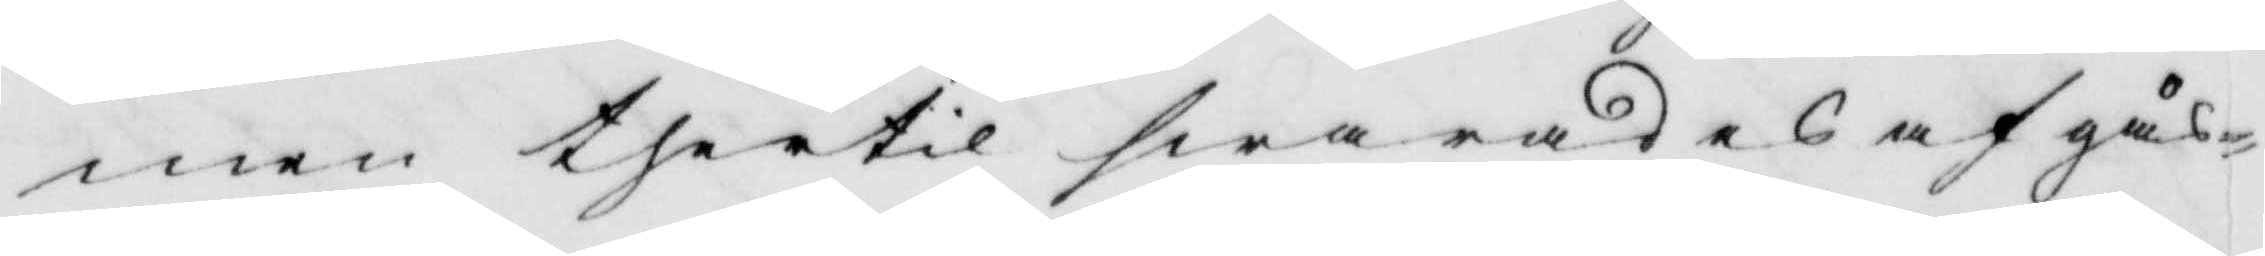men thertil swarades af gås¬
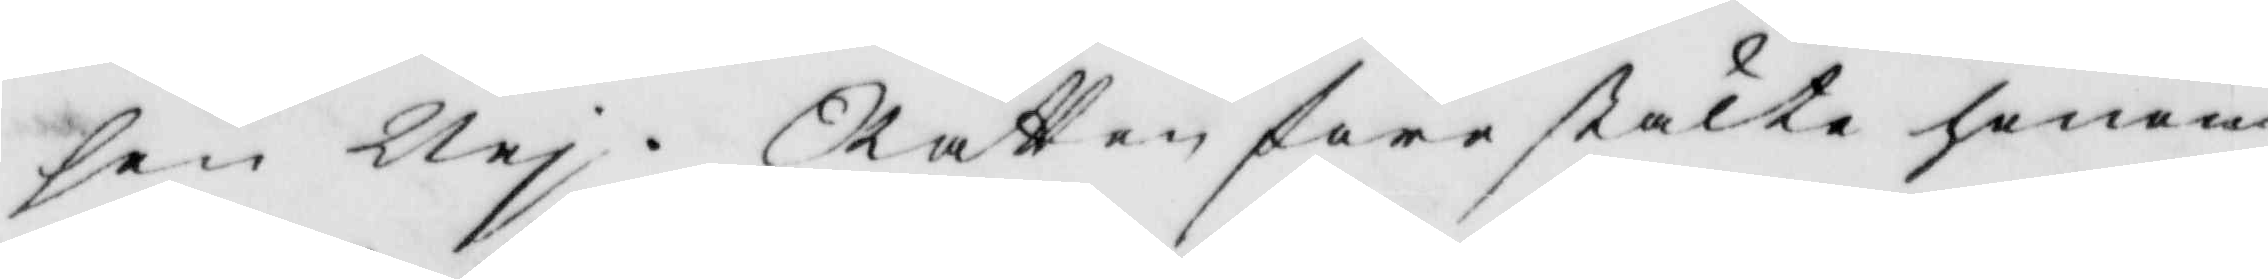sen Nej. Rätten förestälte honom
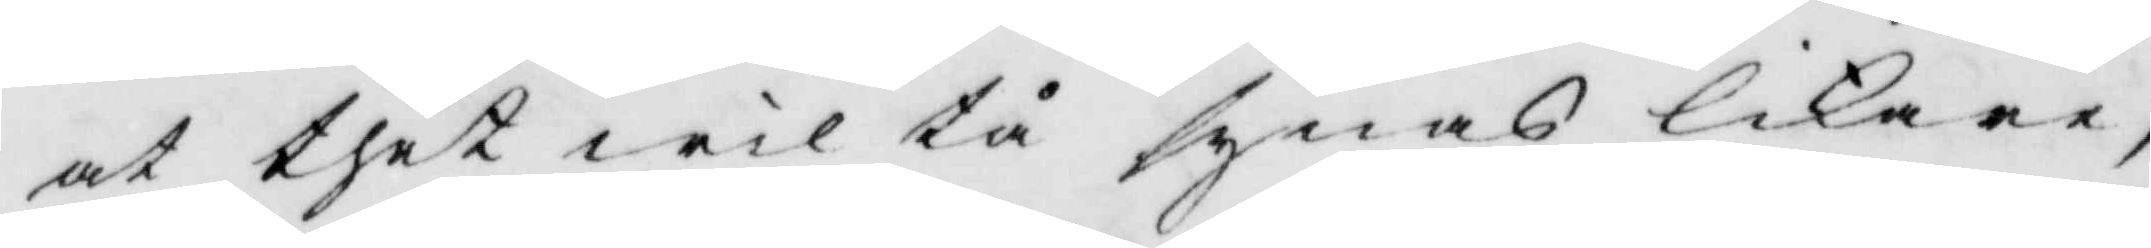at thet wäl tå syneas likare,
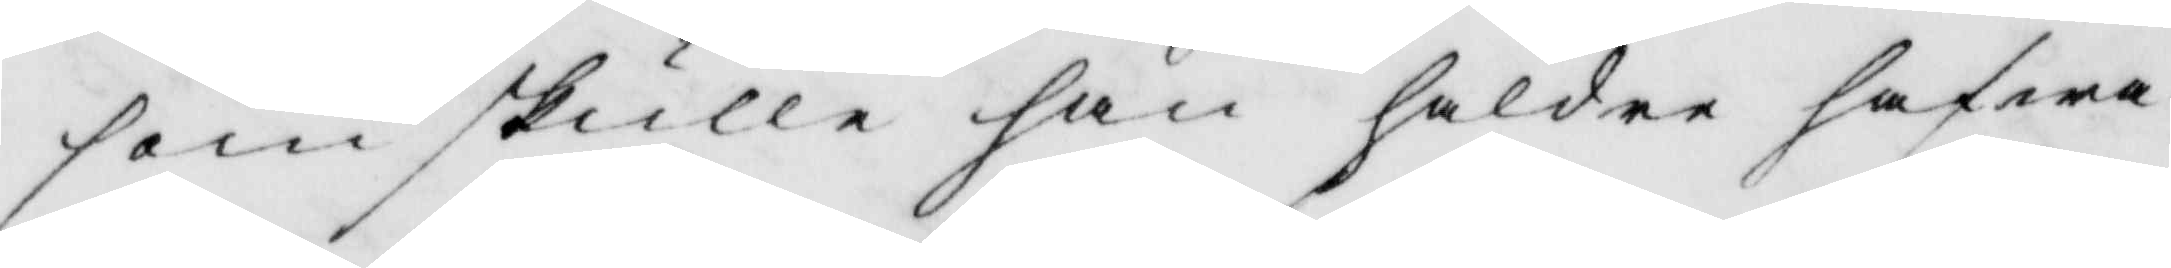som skulle han häldre hafwa
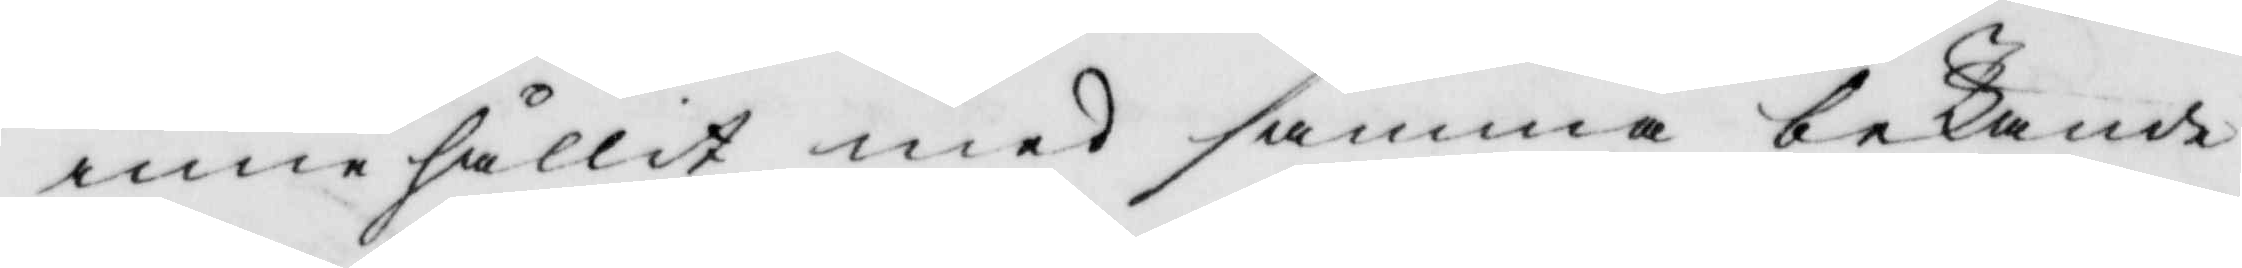innehållit med samma bekände
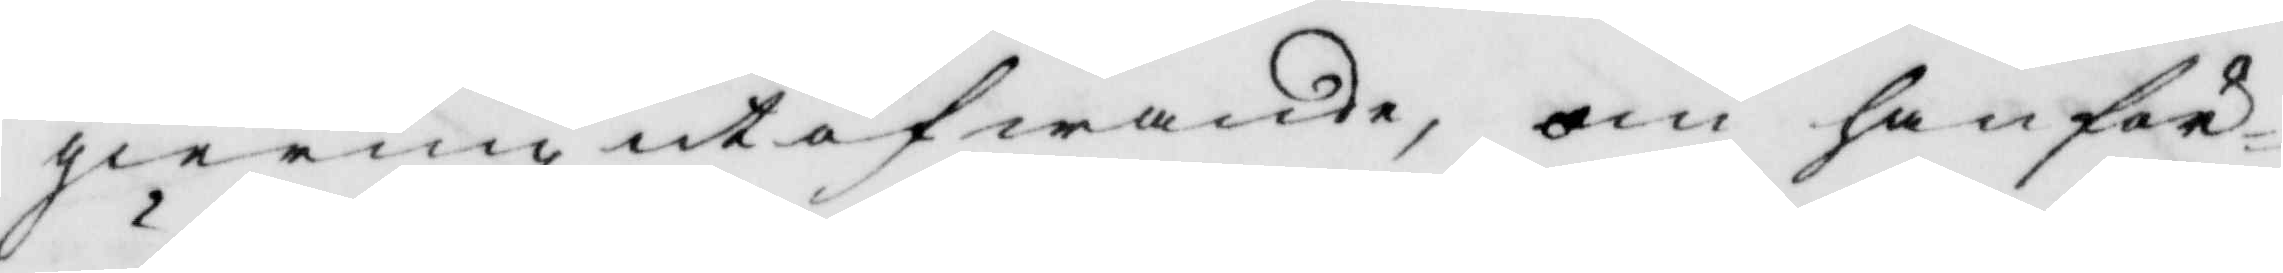gierning utöfwande, om han för¬
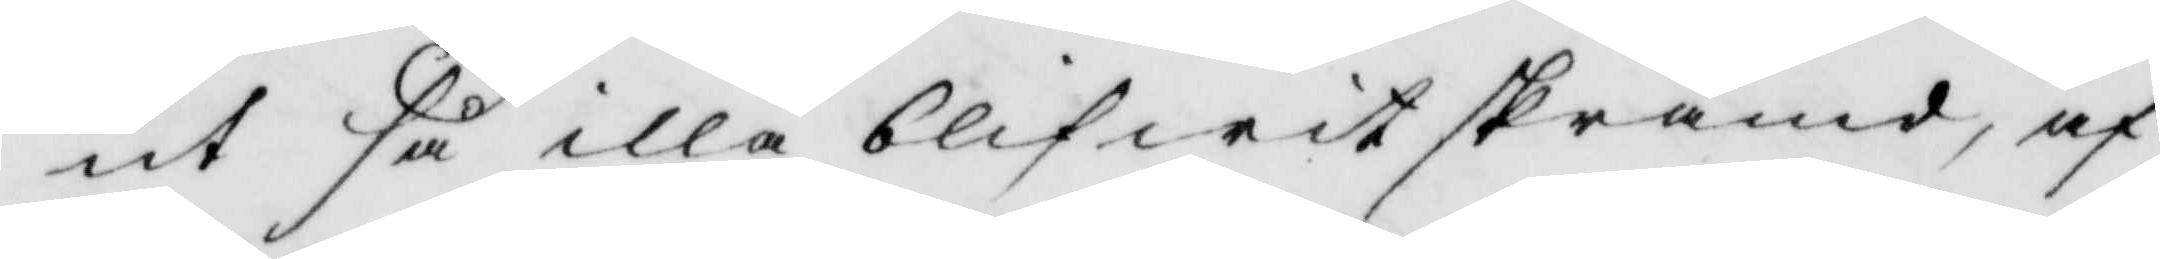ut såilla blifwit skrämd, af
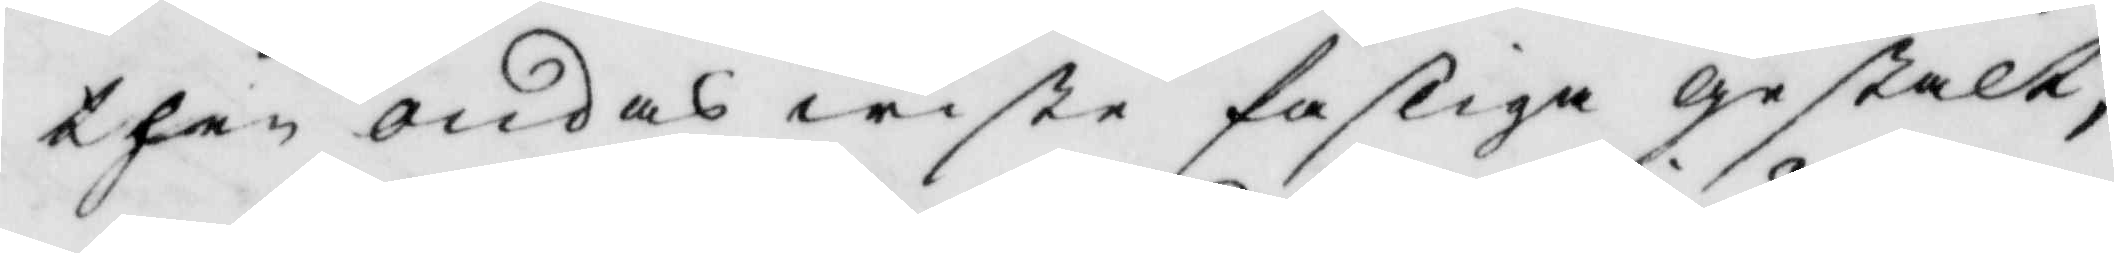then ondas wiste fasliga gestalt;
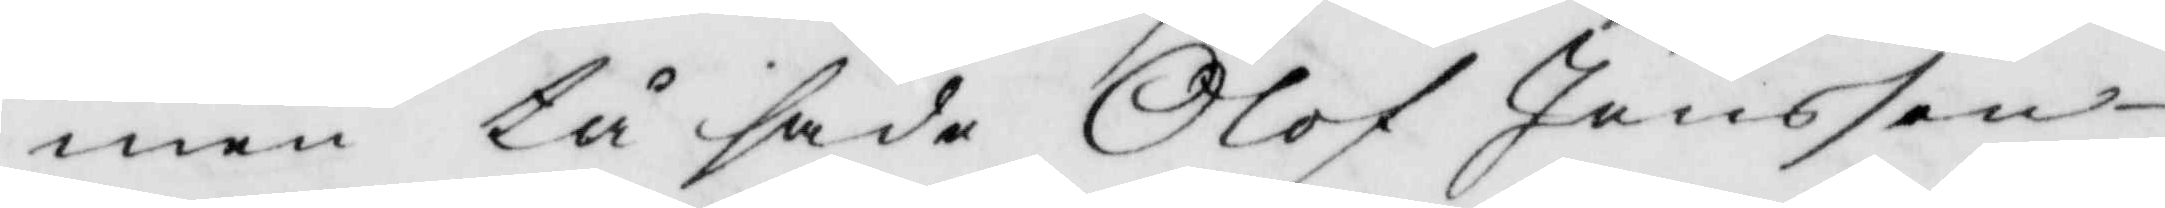men tå sade Olof Jönsson
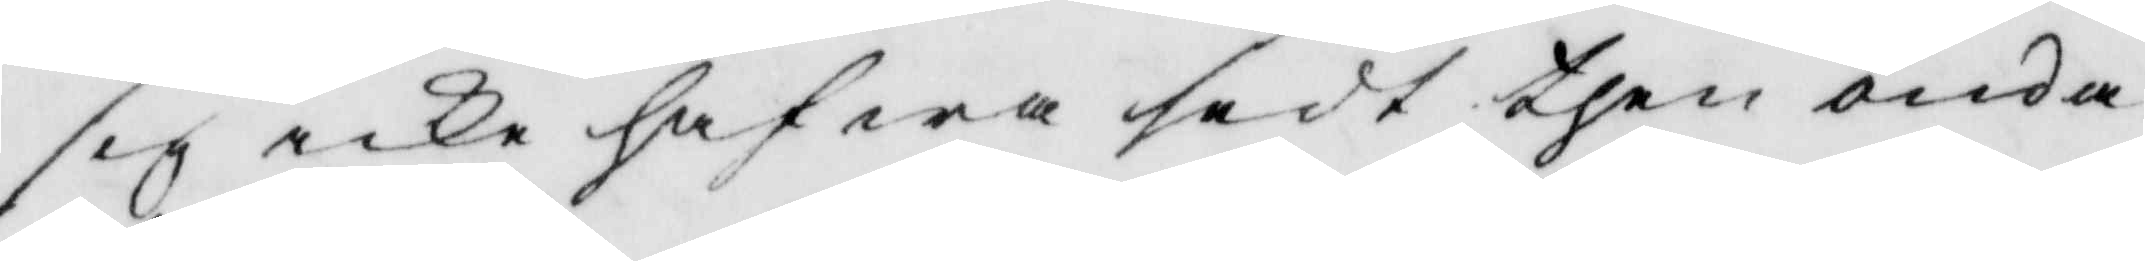sig icke hafwa sedt then onda
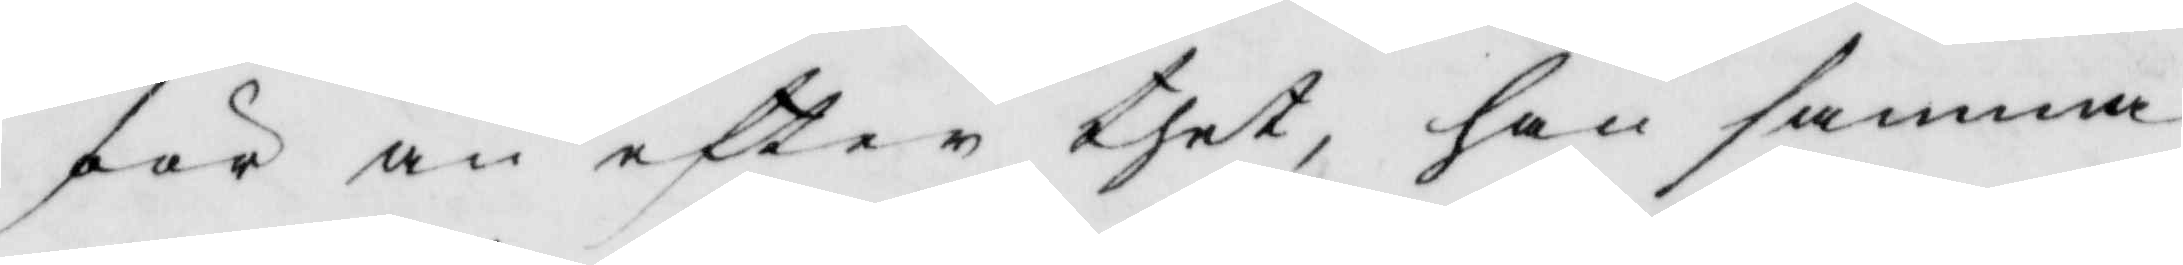för än efter thet, han sammma
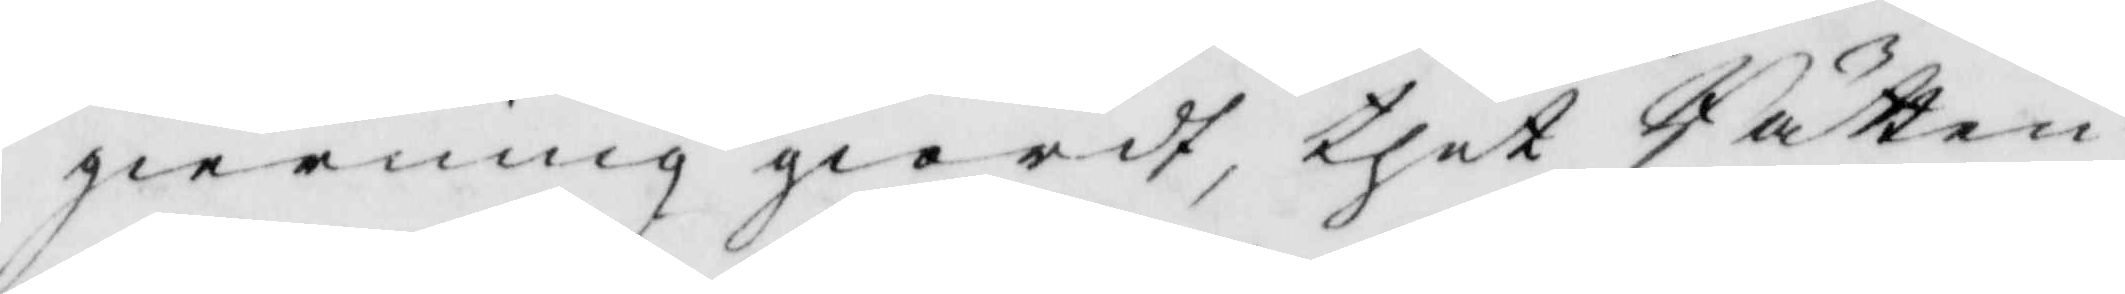gierning giordt, thet Rätten
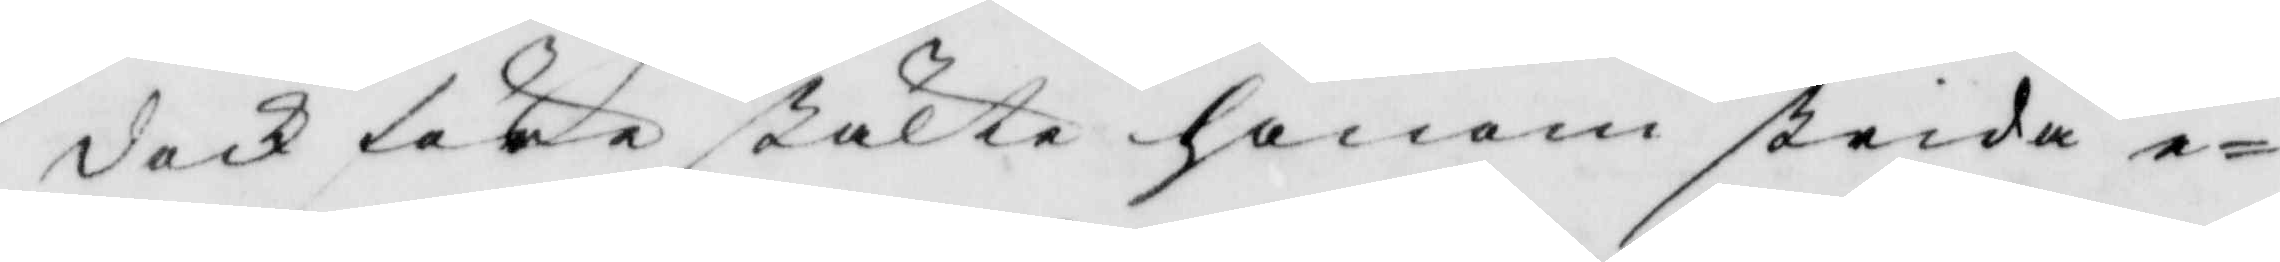dock före stälte honom strida e¬
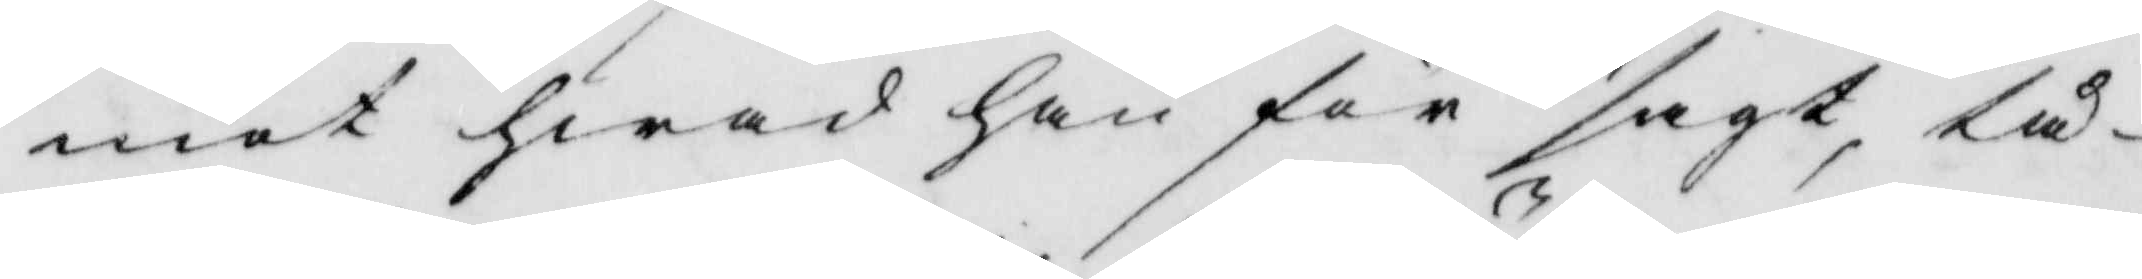mot hwad han får sagt, tå
